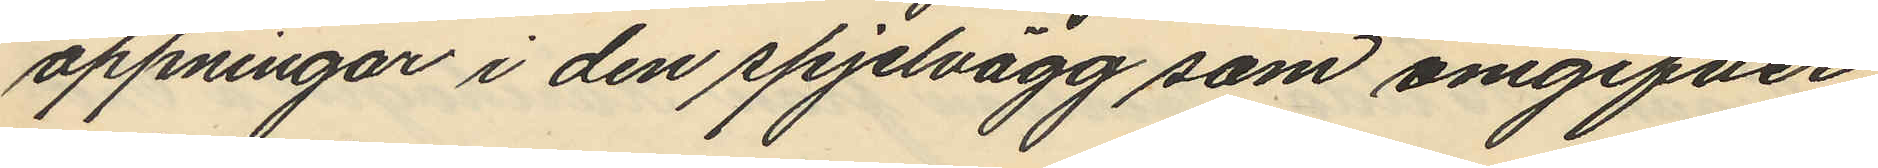öppningar i den spjelvägg som omgifver
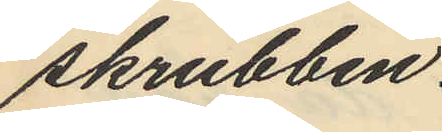skrubben.
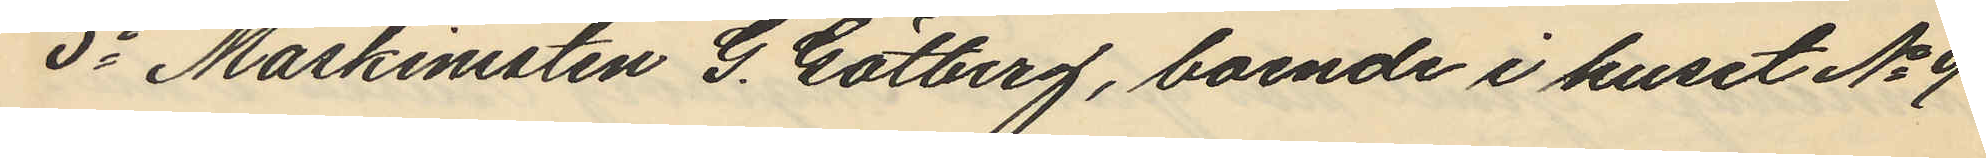5o Maskinisten G. Götberg, boende i huset No 9
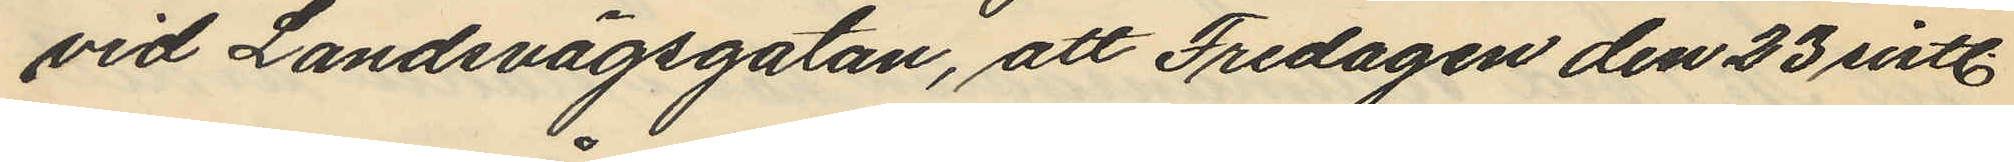vid Landsvägsgatan, att Fredagen den 23 sistl.
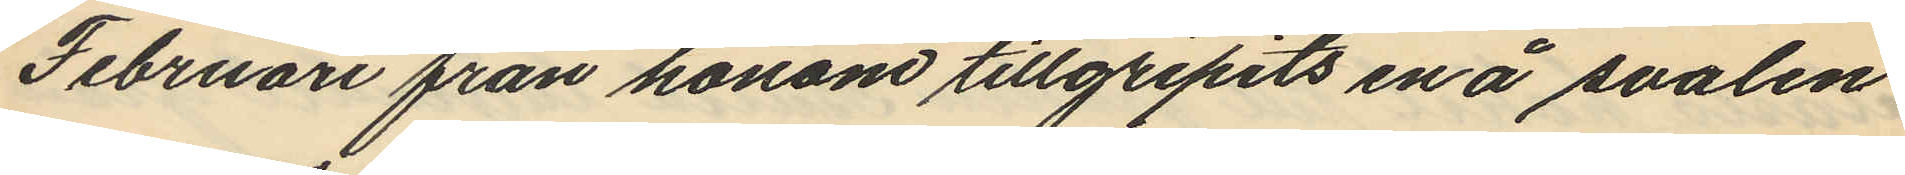Februari från honom tillgripits en å svalen
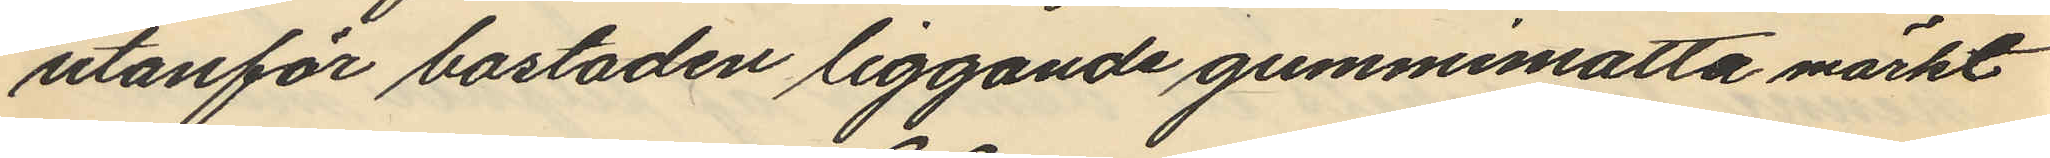utanför bostaden liggande gummimatta märkt
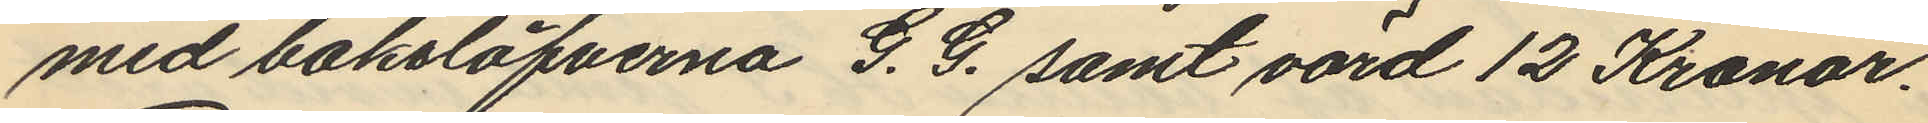med boksläfverna G. G. samt värd 12 Kronor.
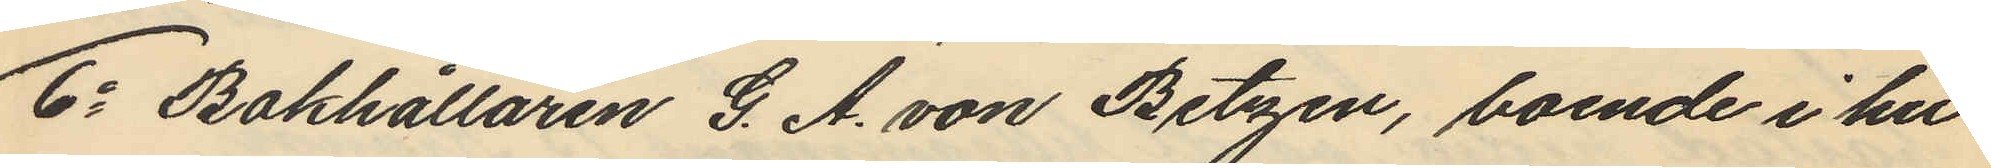6o Bokhållaren G. A. von Betzen, boende i hu¬
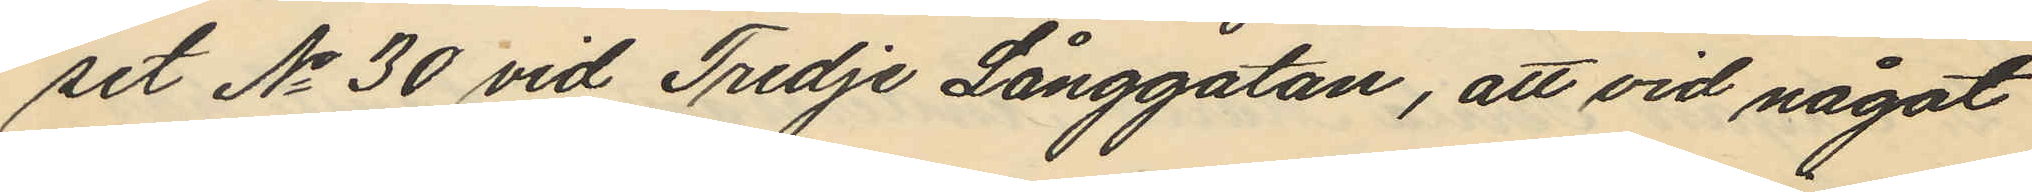set No 30 vid Tredje Långgatan, att vid något
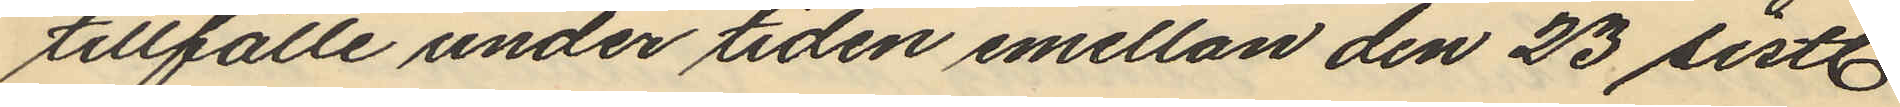tillfälle under tiden emellan den 23 sistl
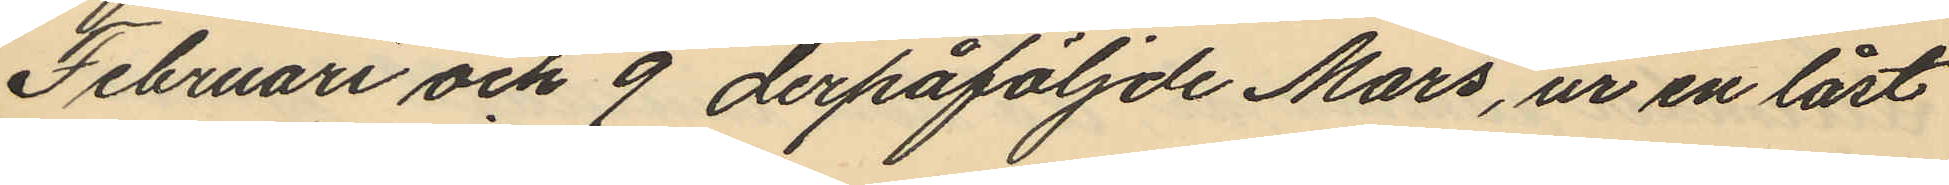Februari och 9 derpåföljde Mars, ur en låst
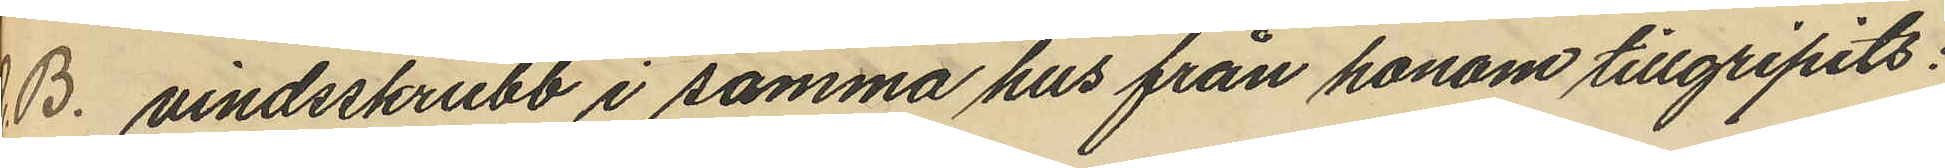vindsskrubb i samma hus från honom tillgripits:
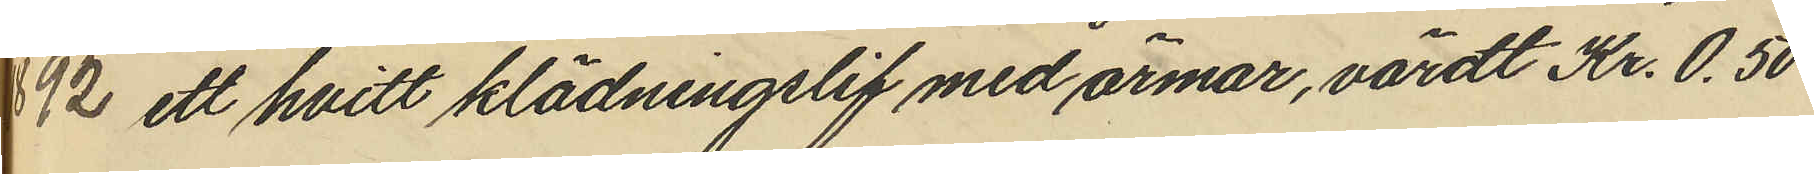 ett hvitt klädningslif med ärmar, värdt Kr. 0,50
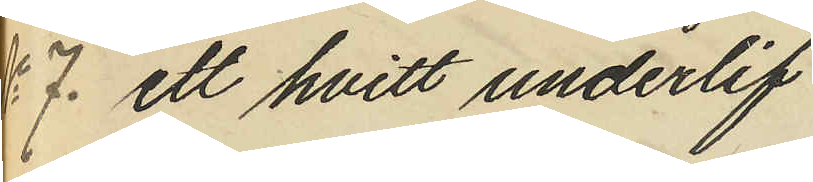ett hvitt underlif
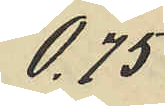0,75
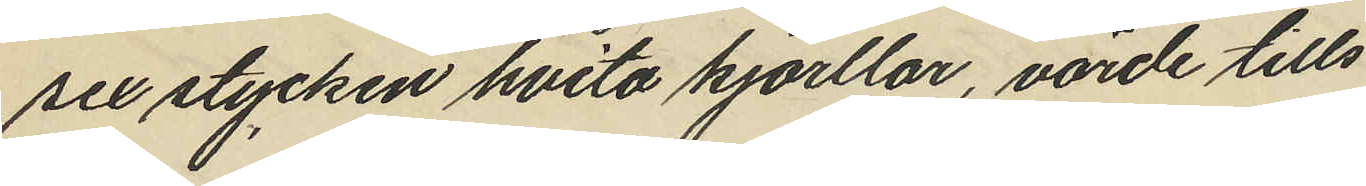sex stycken hvita kjorllar, värde tills
